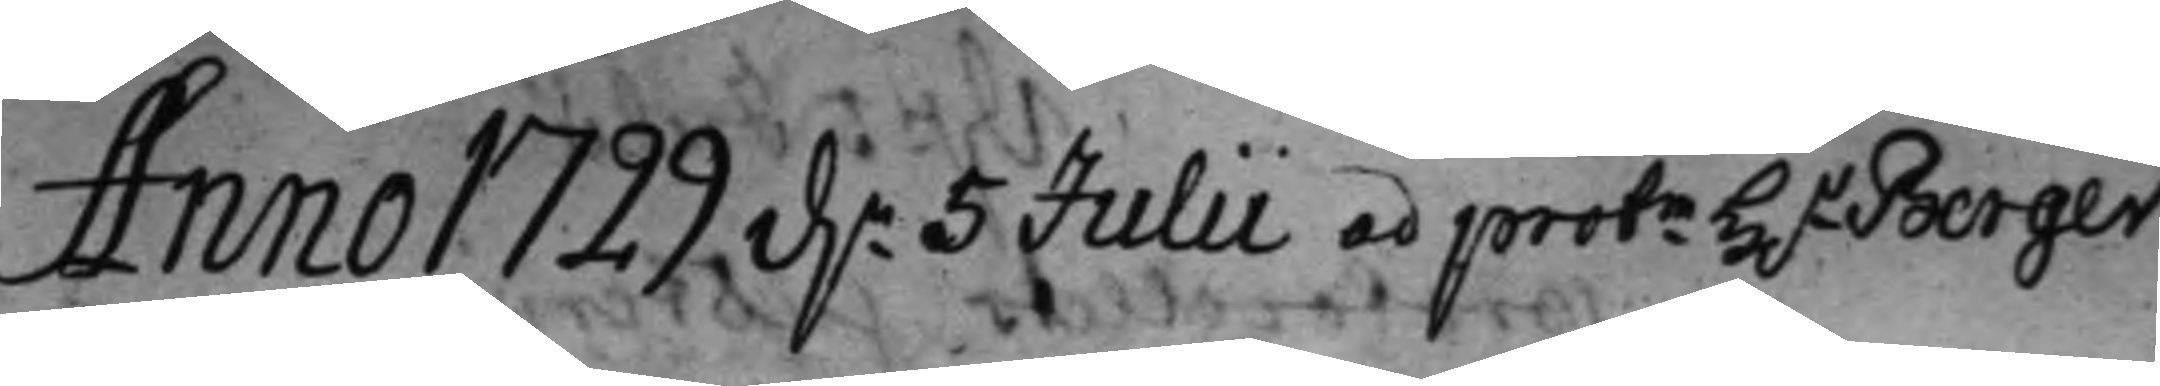Anno 1722 dn. 5 Julii ad protm H.r Berger
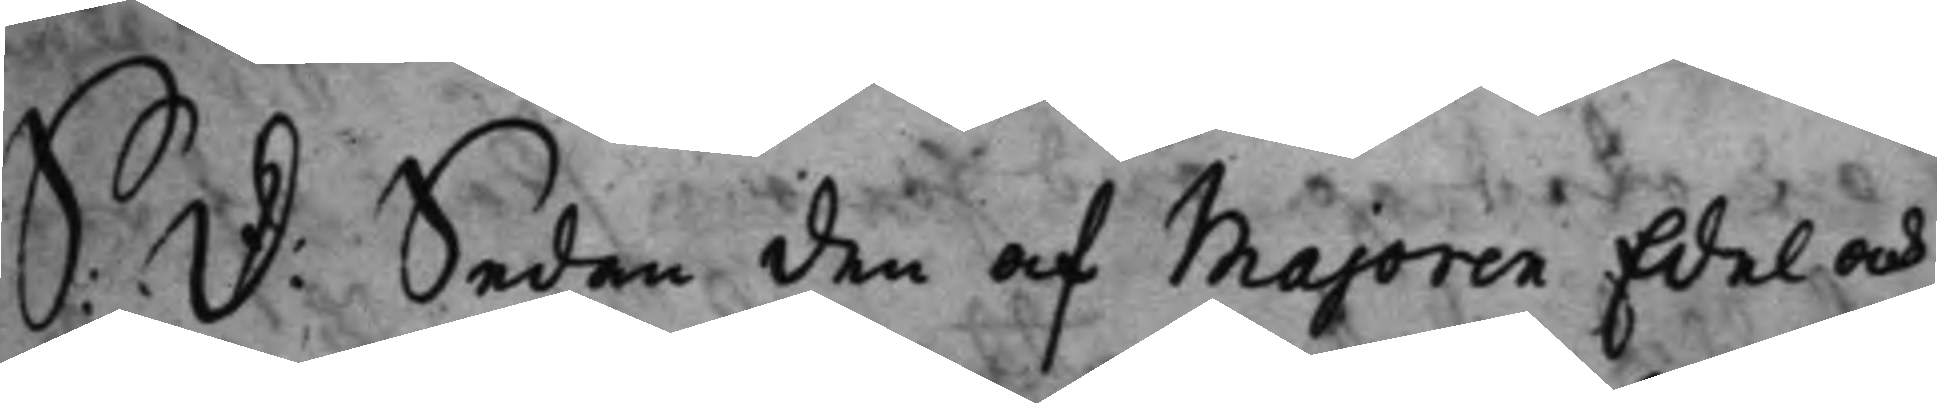S: d: Sedan den af Majoren Edel och
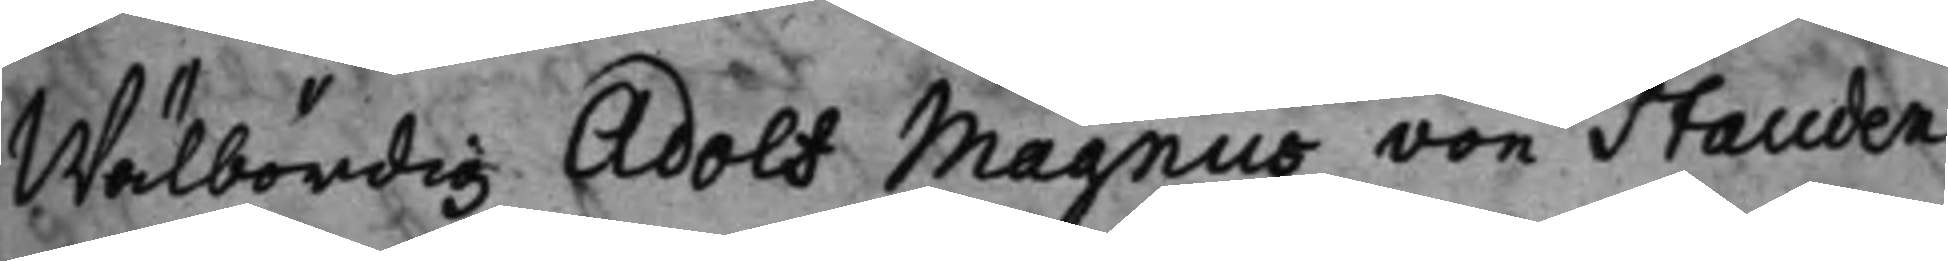Wälbördig Adolf Magnus von Stauden
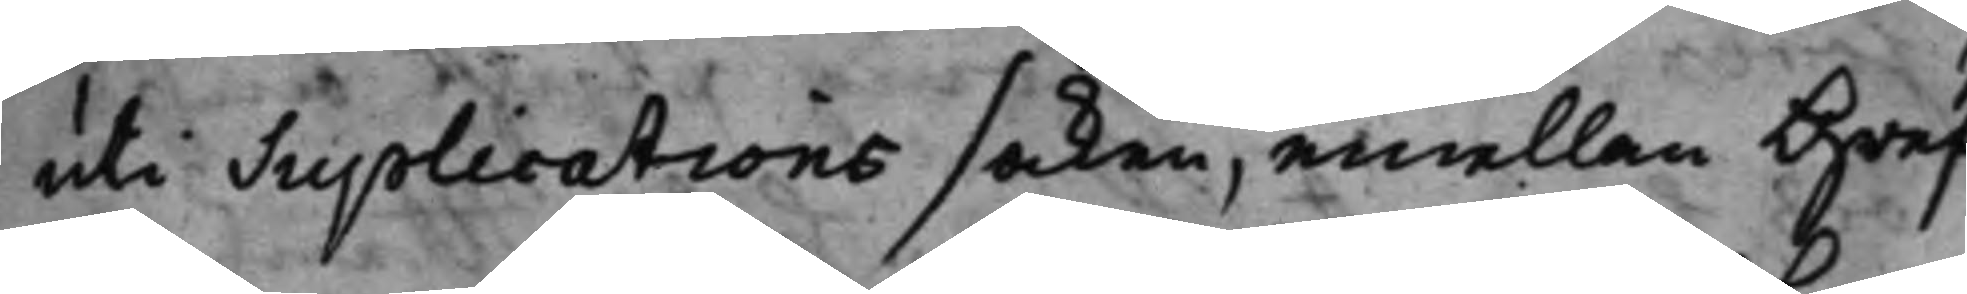uti Suplications saken, emellan Gref¬
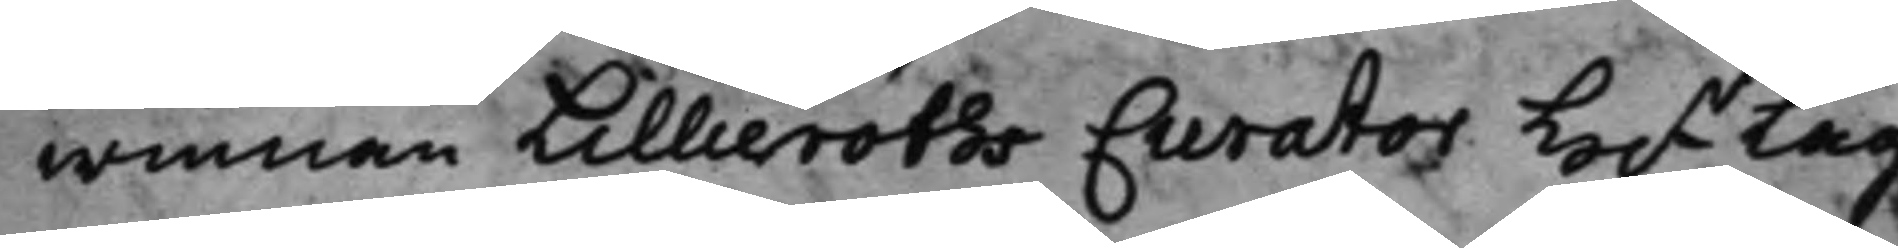winnan Lillieroths Curator H.r Lag¬
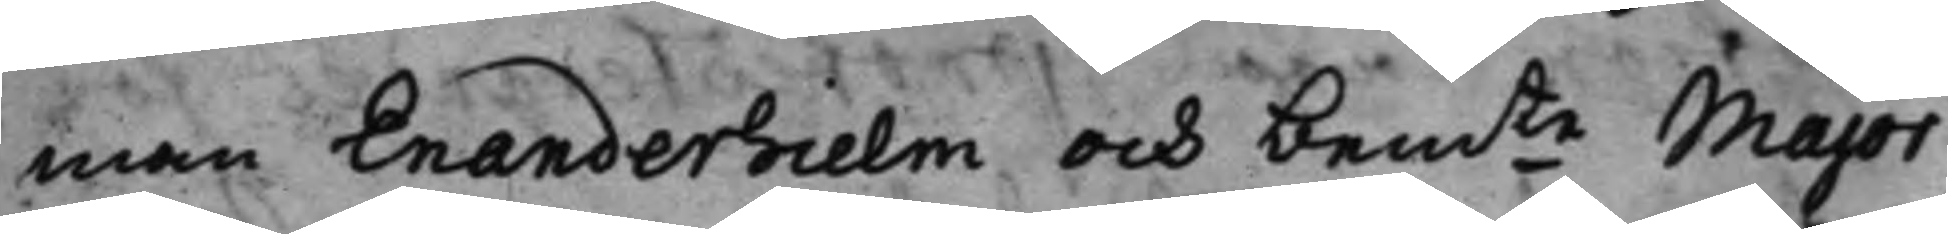man Enanderhielm och bemte Major,
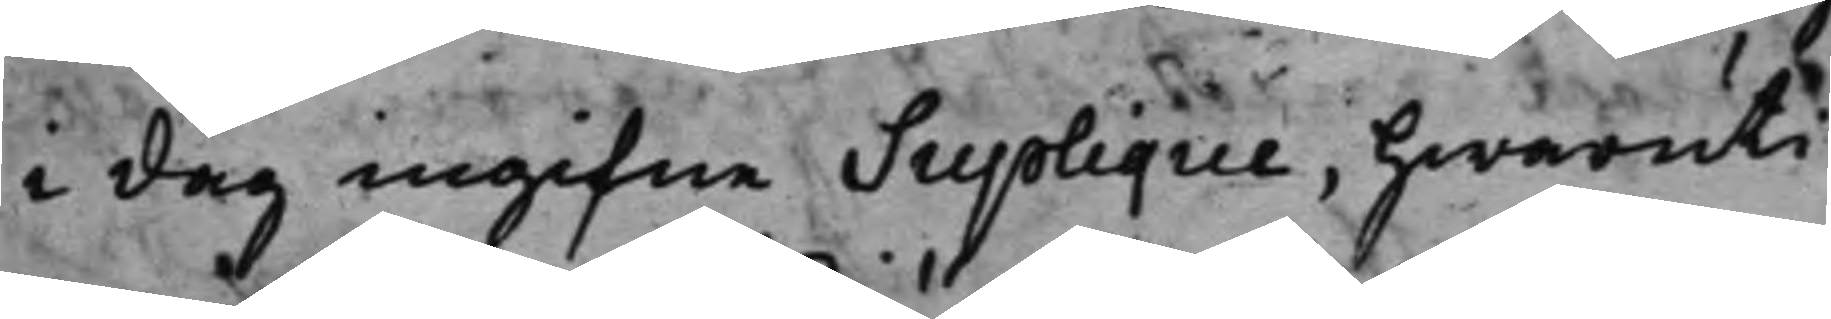i dag ingifne Suplique, hwaruti
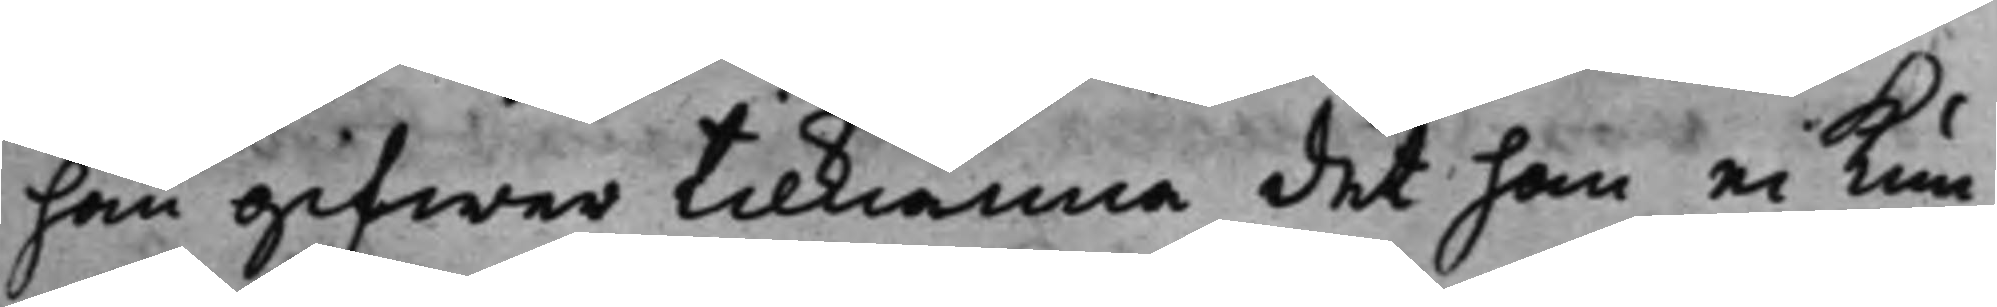han gifwer tilkiänna, det han ei Kun¬
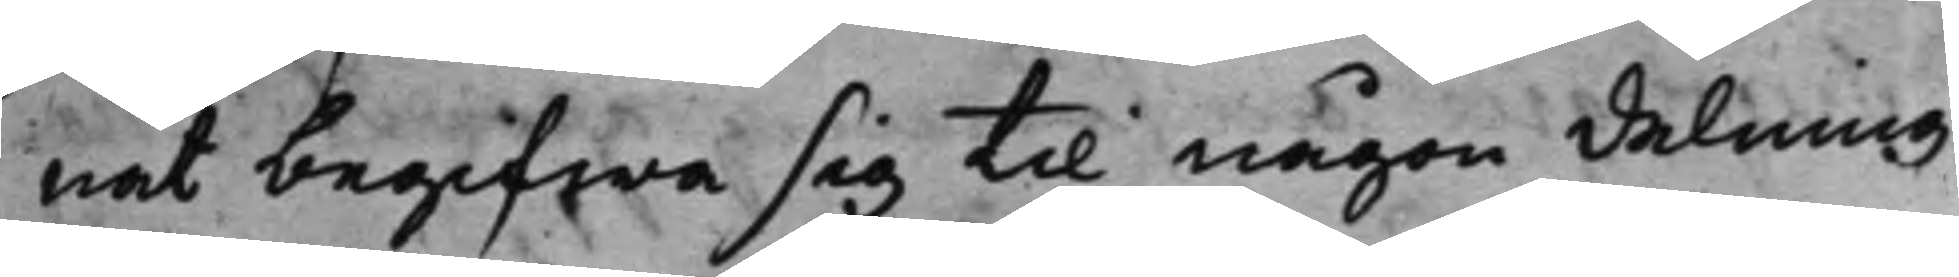nat begifwa sig til någon delning
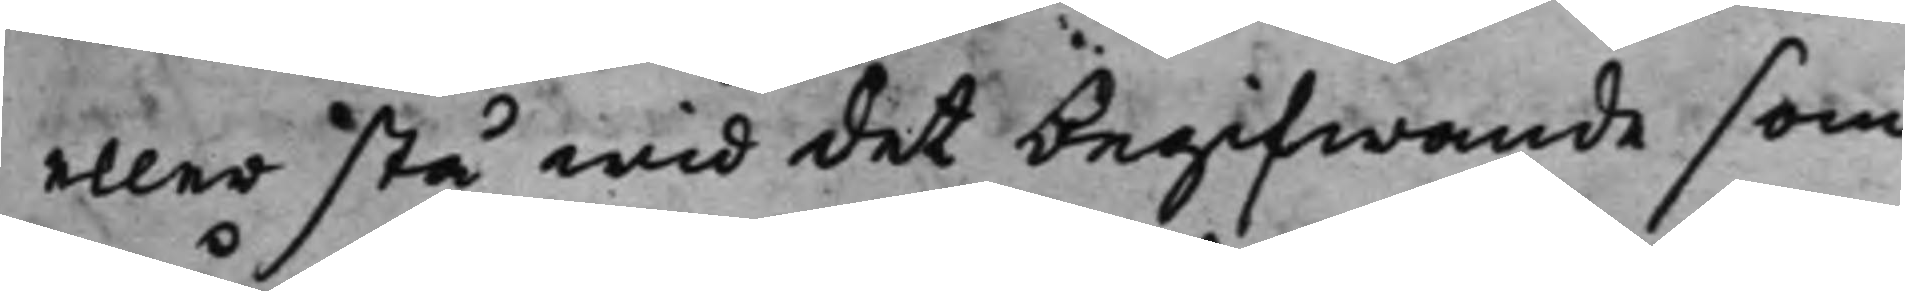eller stå wid det begifwande som
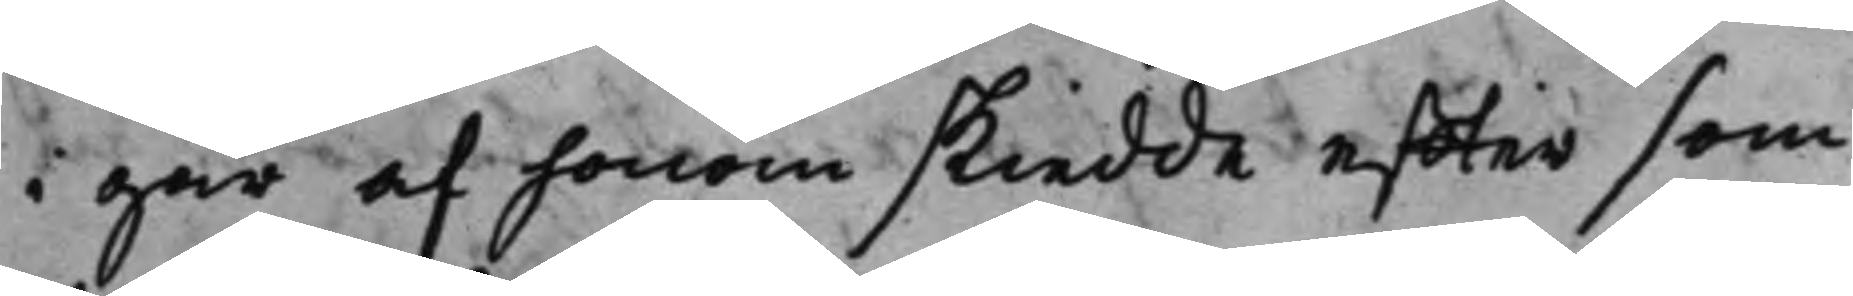i går af honom skiedde effter som
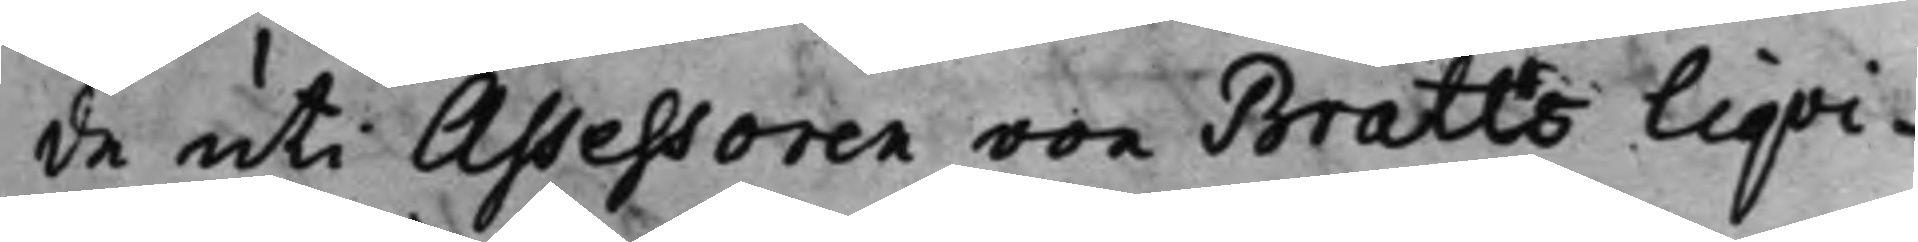de uti Assessoren von Bratts Liqvi¬
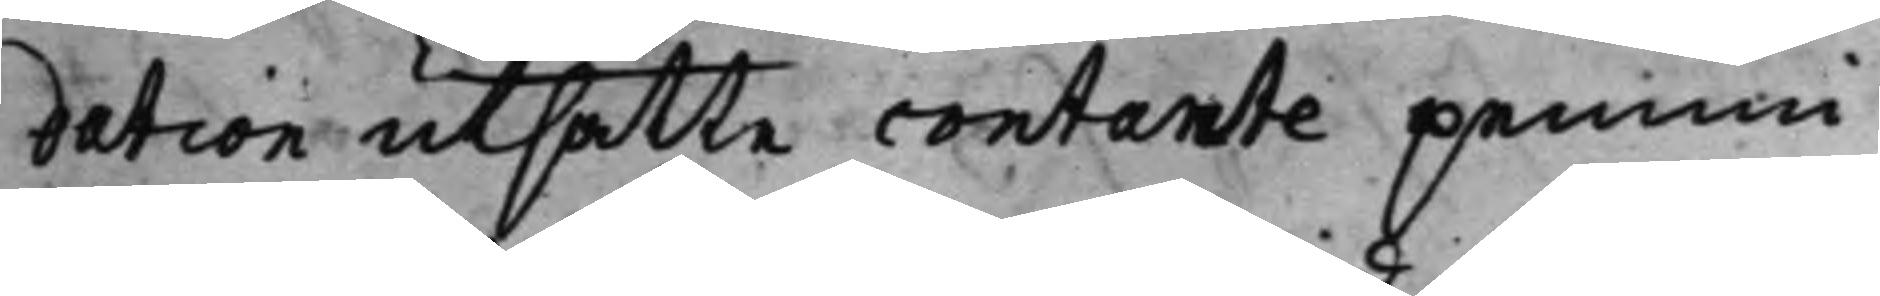dation utsatte contante pennin¬
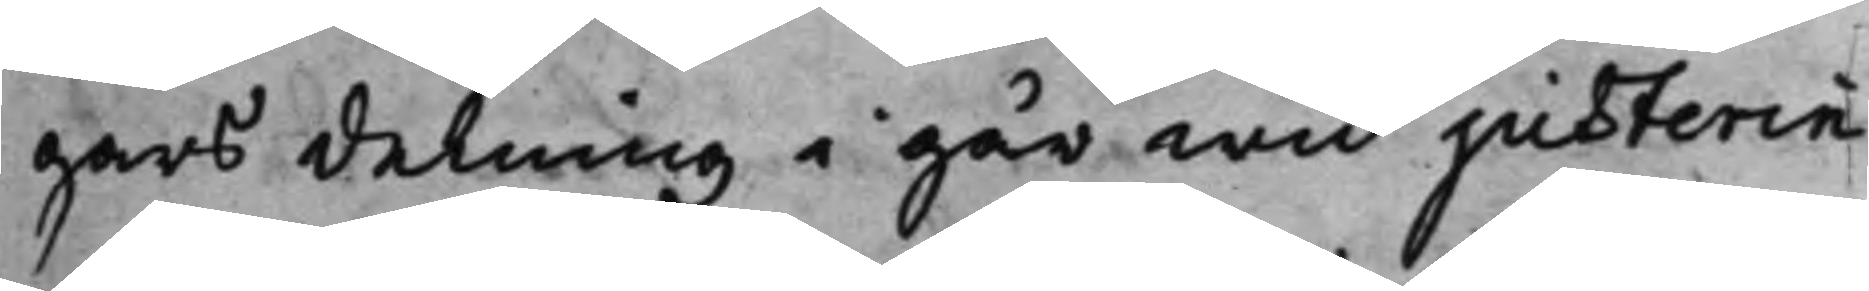gars delning i går wid justerin¬
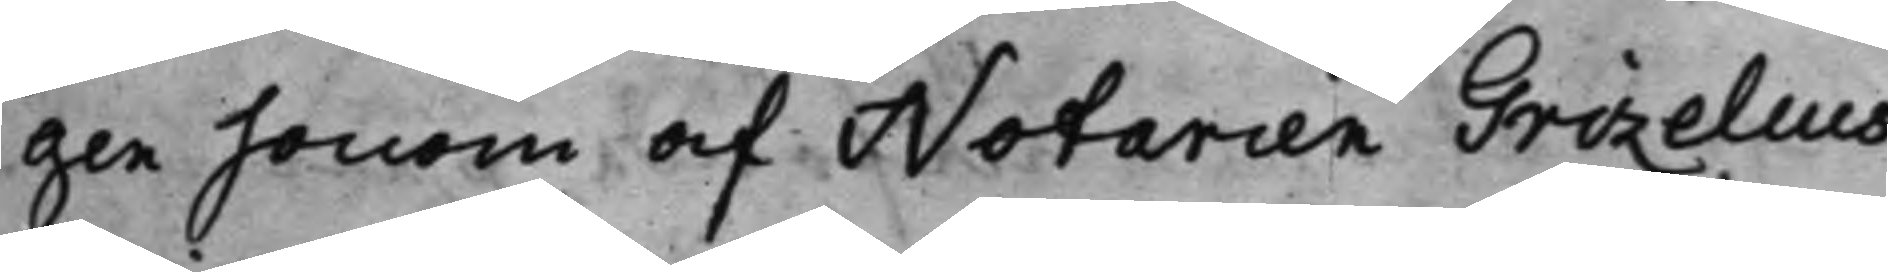gen honom af Notarien Grizelius
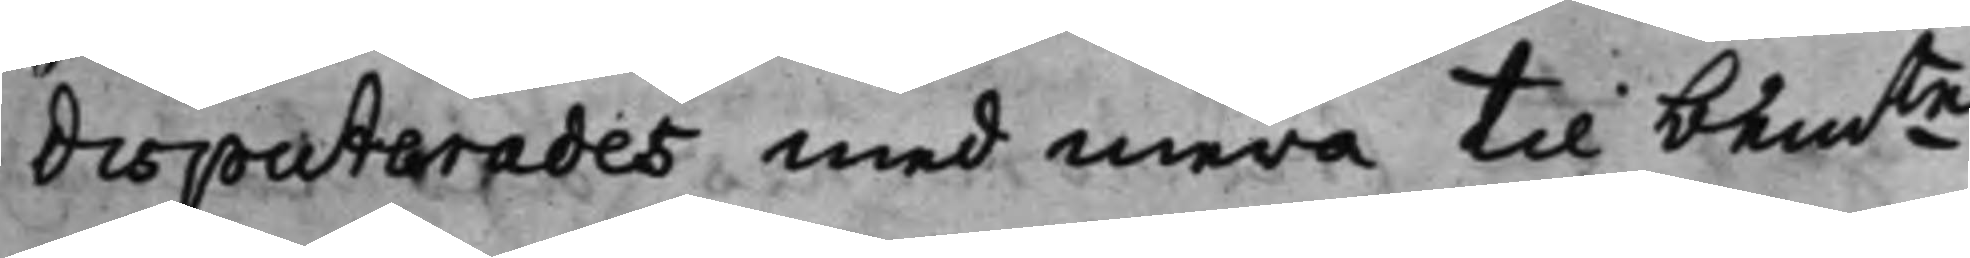disputerades med mera til bemte
